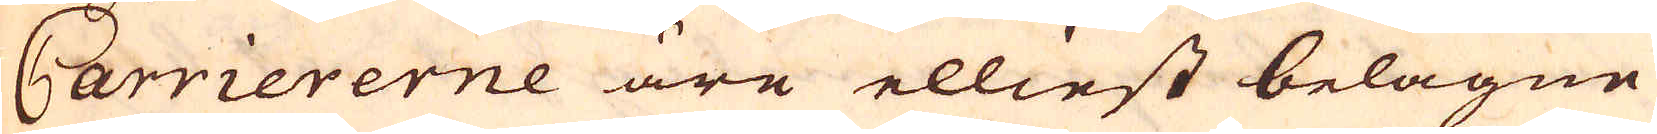Carriererne äre elliest belägne
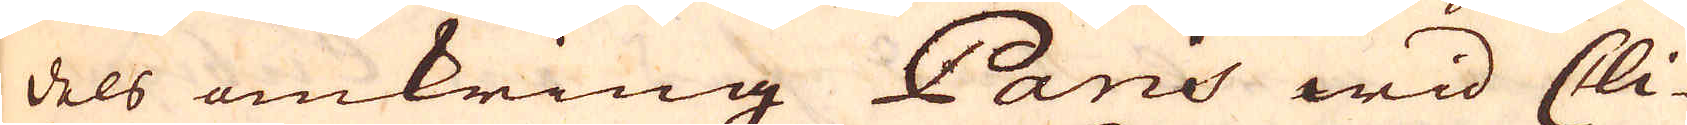dels omkring Paris wid Cli-
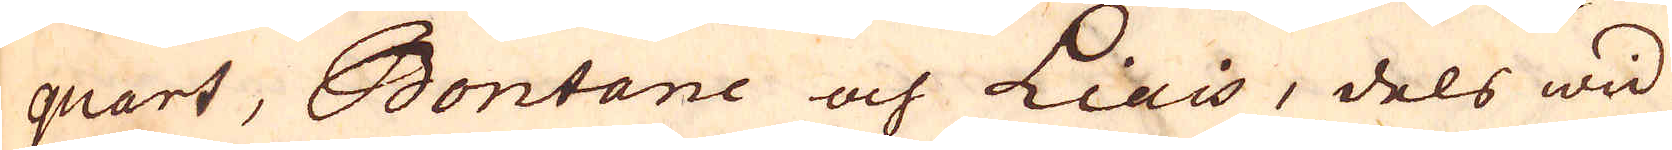quart, Bontane och Liais, dels wid
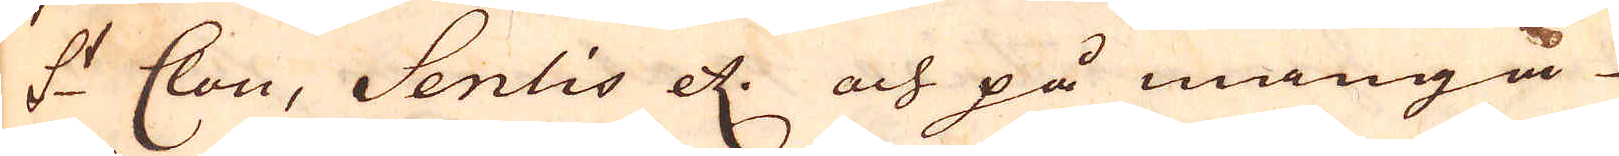S:t Clou, Senlis etc. och på många
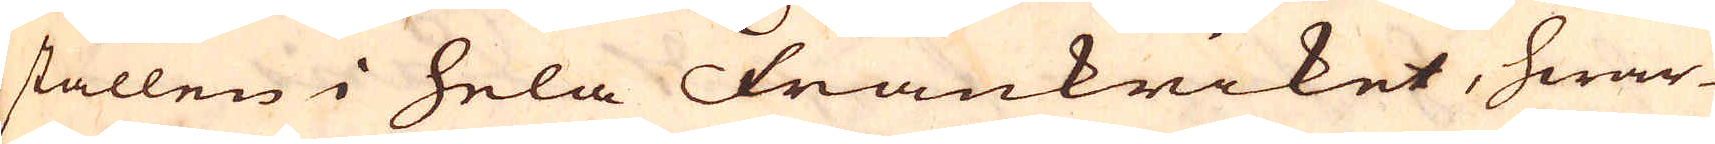ställen i hela Frankriket, hwar-
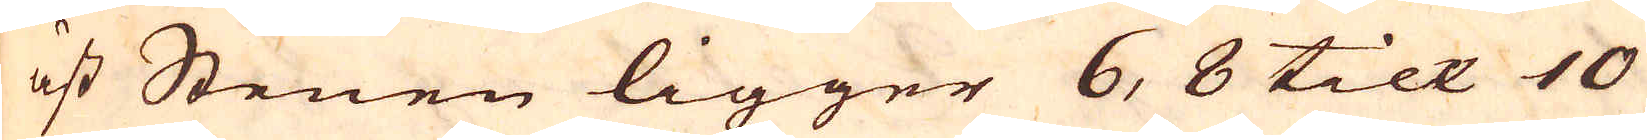äst Stenen ligger 6, 8 till 10
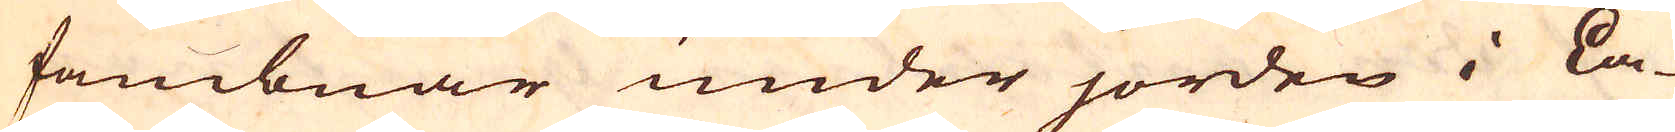fambnar under jorden i La-
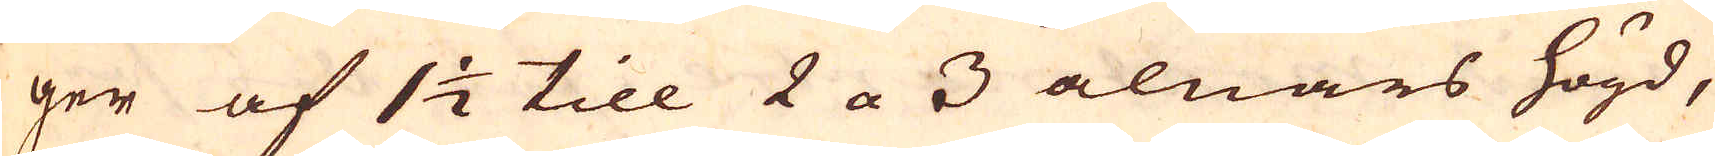ger af 1 1/2 till 2 a 3 alnars högd,
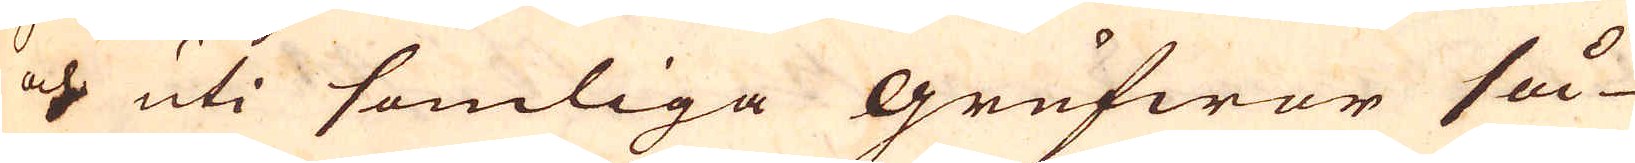och uti somliga grufwor så
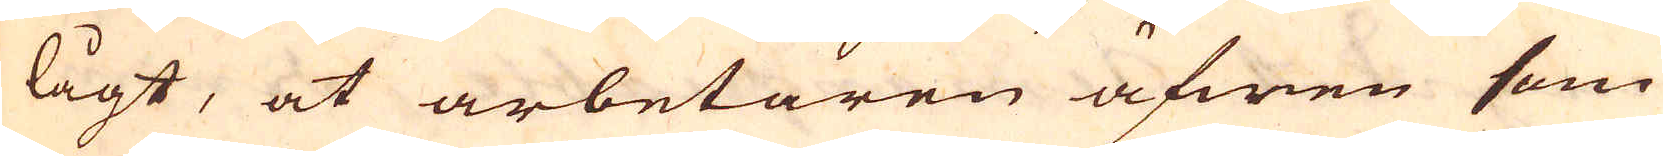lågt, at arbetaren äfwen som
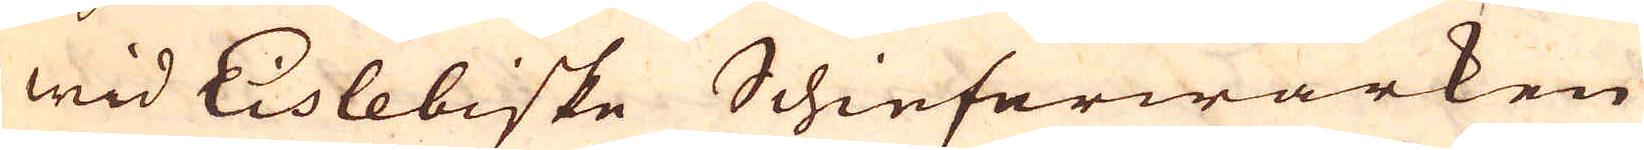wid Eislebiske Schieferwärken
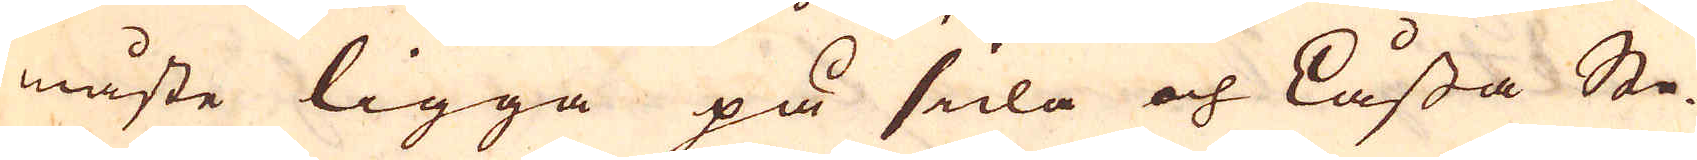måste ligga på sida och Låssa Ste-
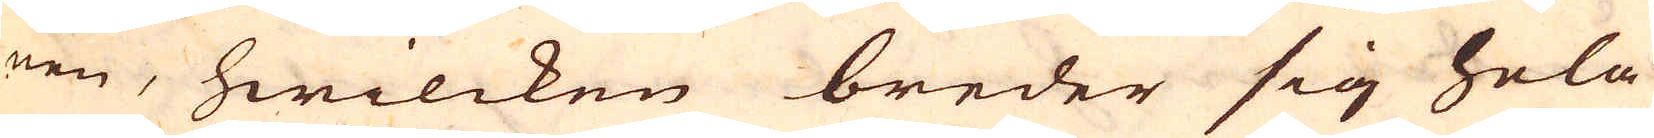nen, hwilcken breder sig hela
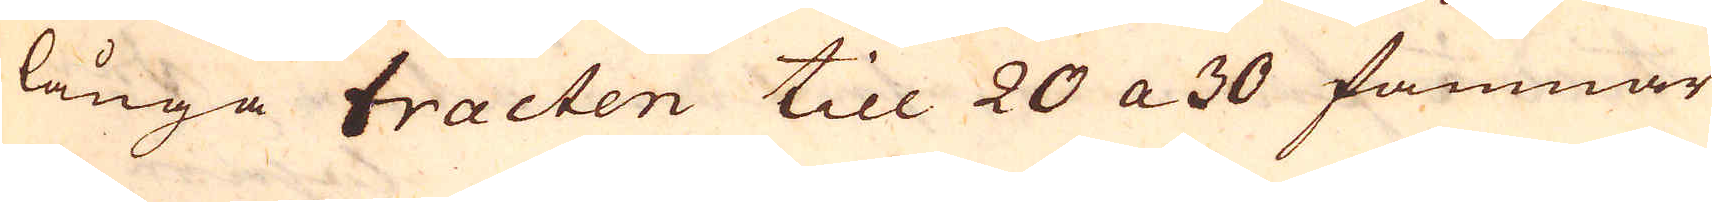långa tracten till 20 a 30 famnar
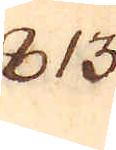813.
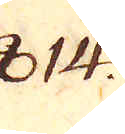814.
